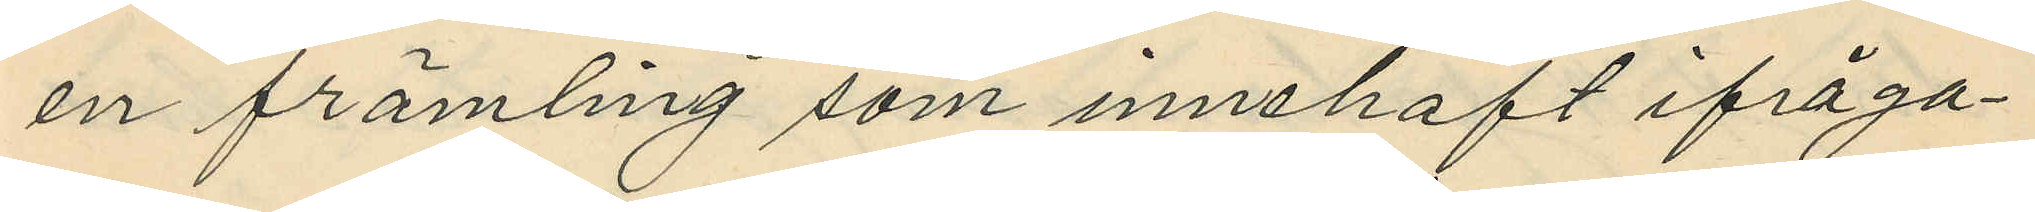en främling som innehaft ifråga¬
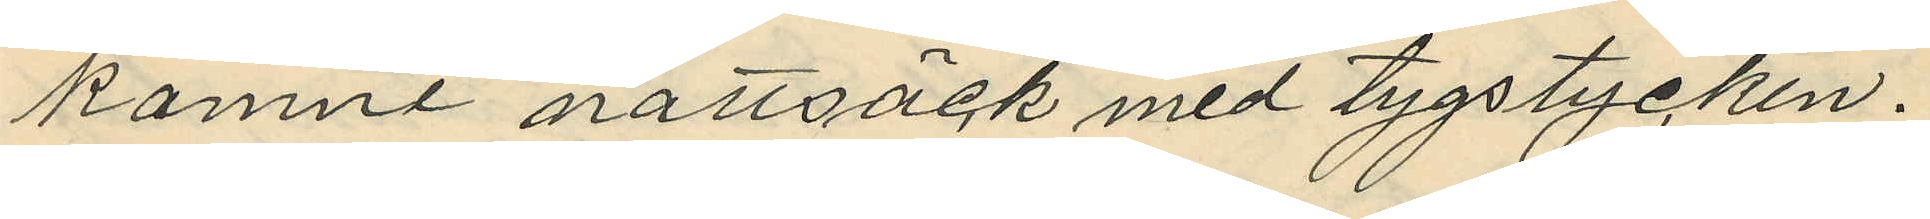komne nattsäck med tygstycken.
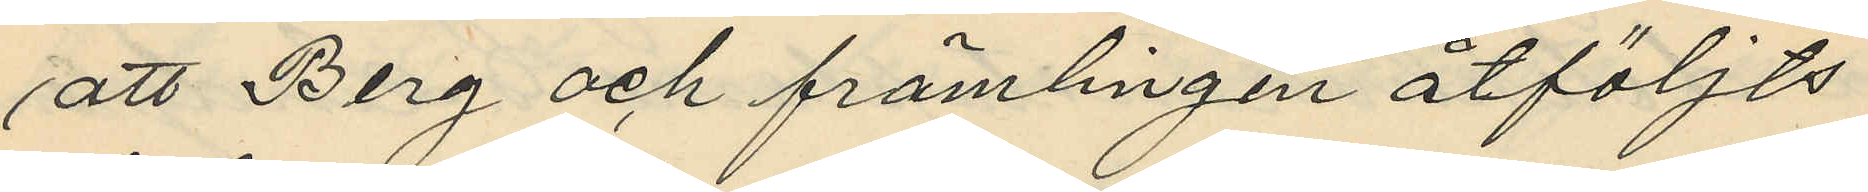att Berg och främlingen åtföljts
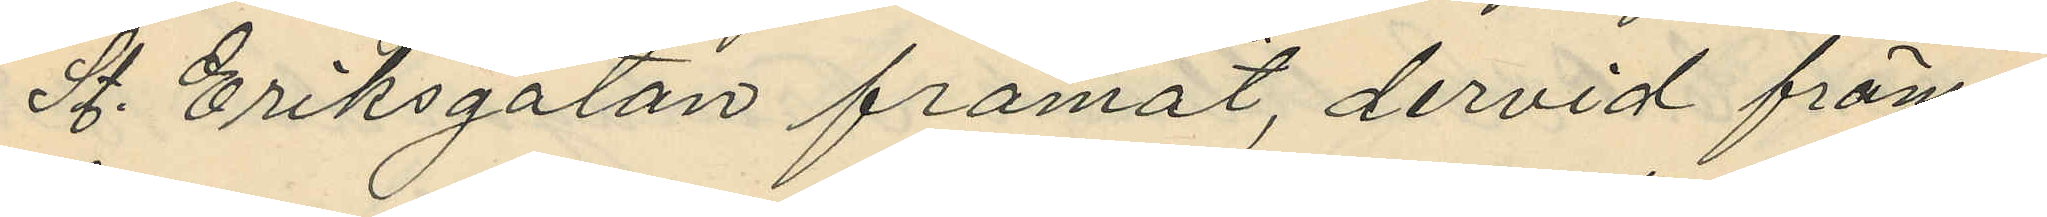St. Eriksgatan framåt, dervid främ¬
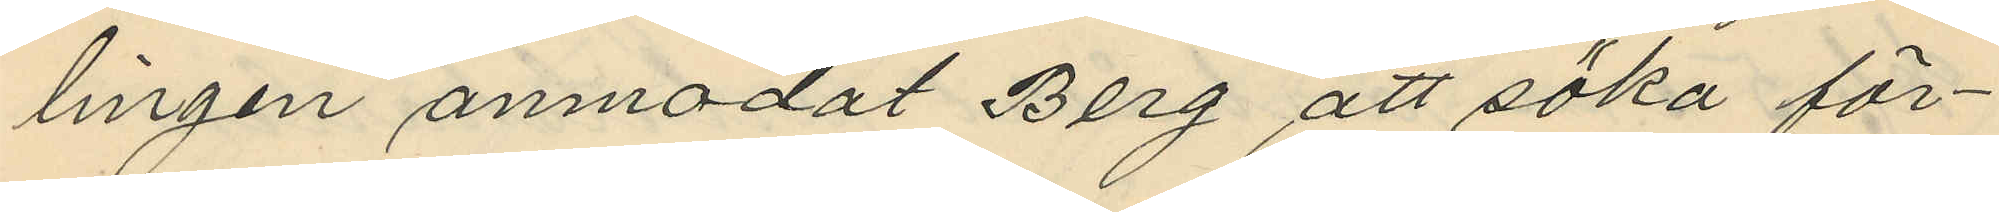lingen anmodat Berg att söka för¬
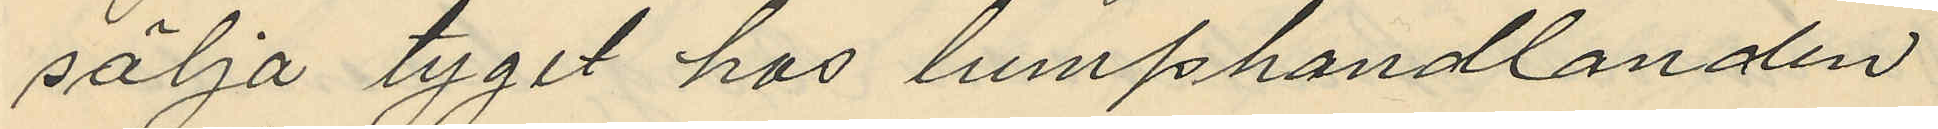sälja tyget hos lumphandlanden
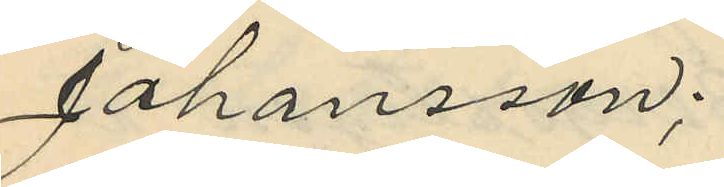Johansson;
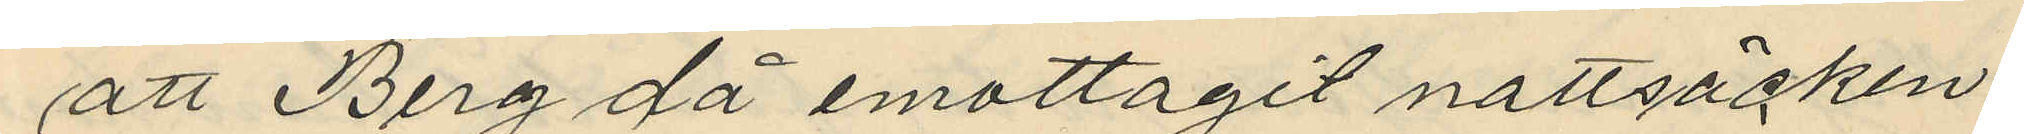att Berg då emottagit nattsäcken
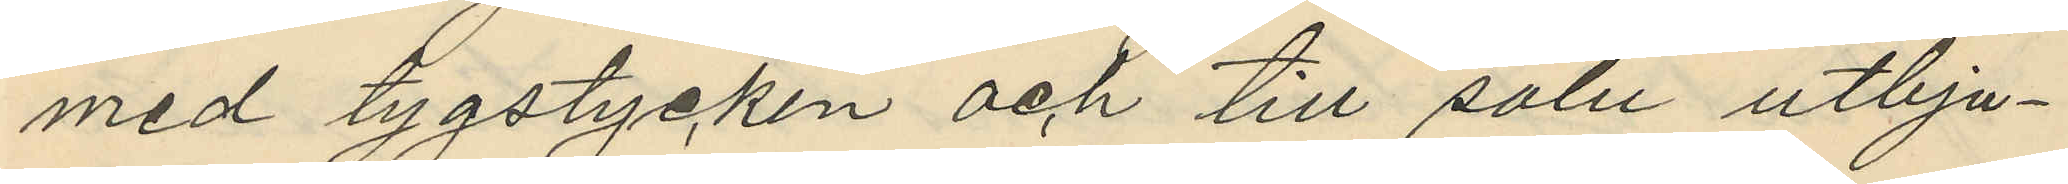med tygstycken och till salu utbju¬
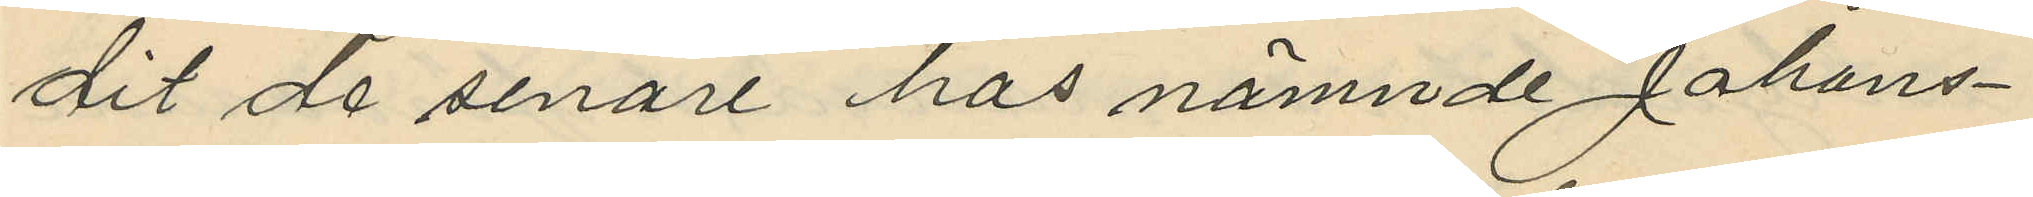dit de senare hos nämnde Johans¬
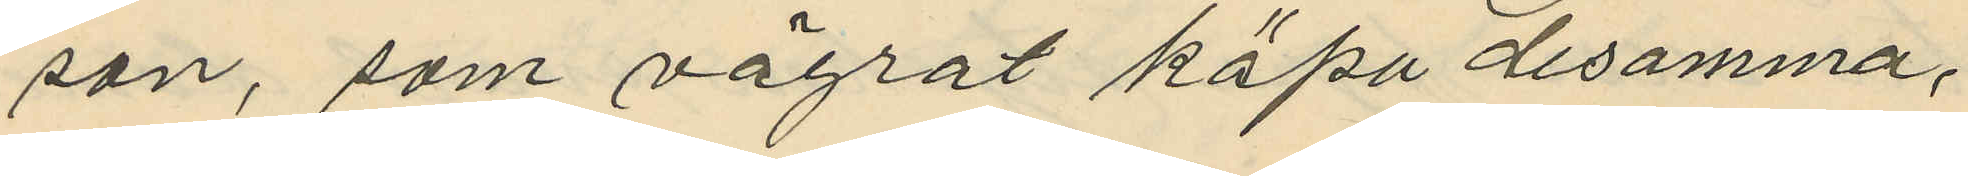son, som vägrat köpa desamma;
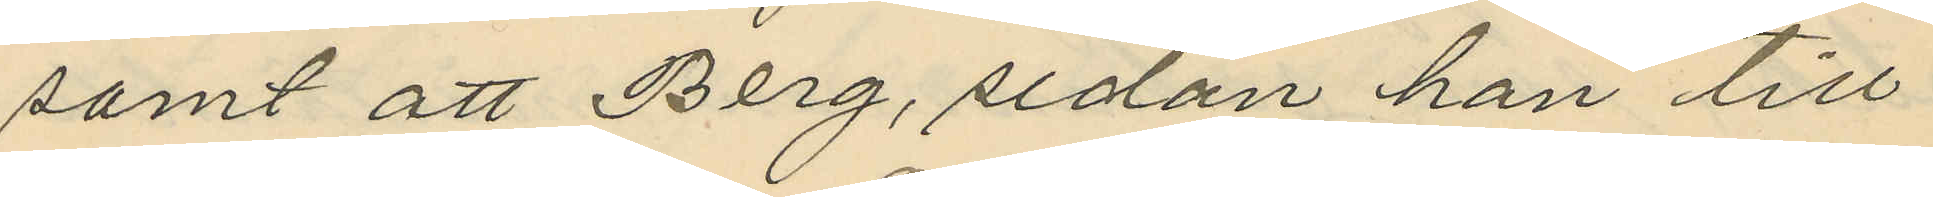samt att Berg, sedan han till
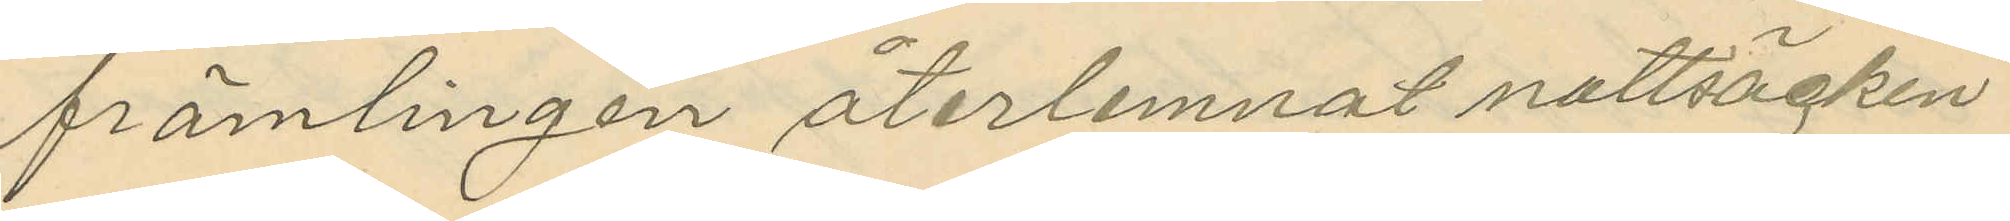främlingen återlemnat nattsäcken
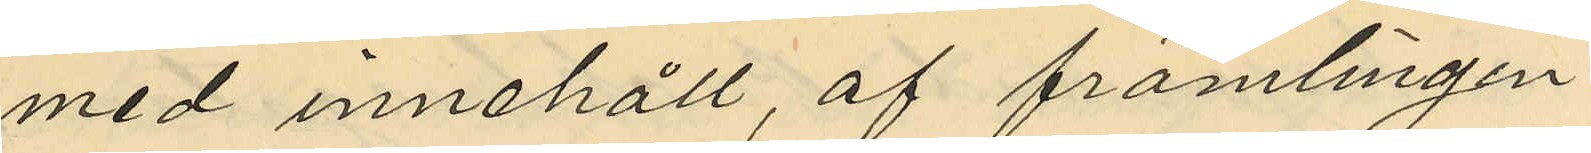med innehåll, af främlingen
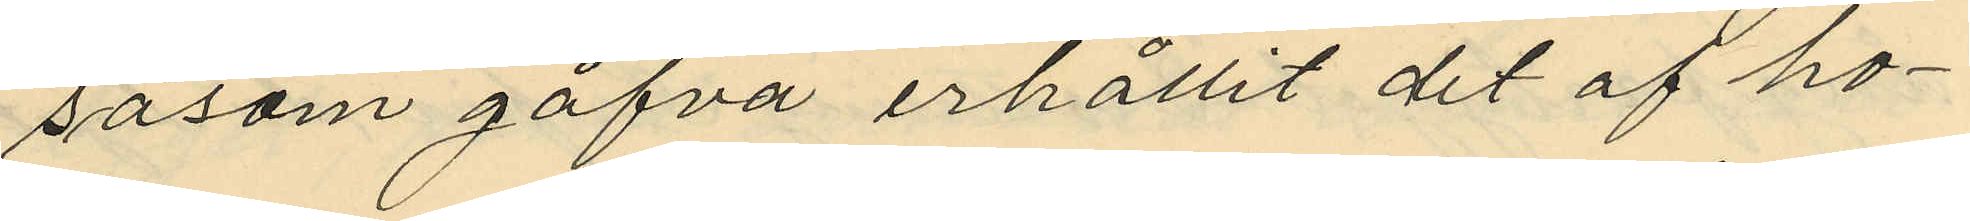såsom gåfva erhållit det af ho¬
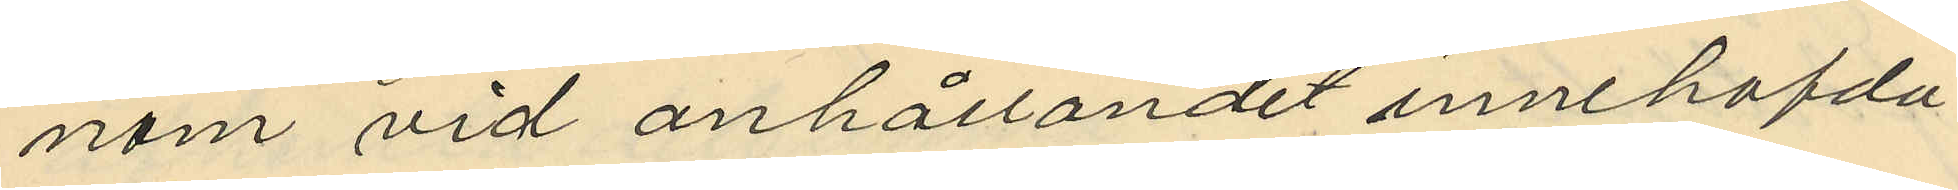nom vid anhållandet innehafda
